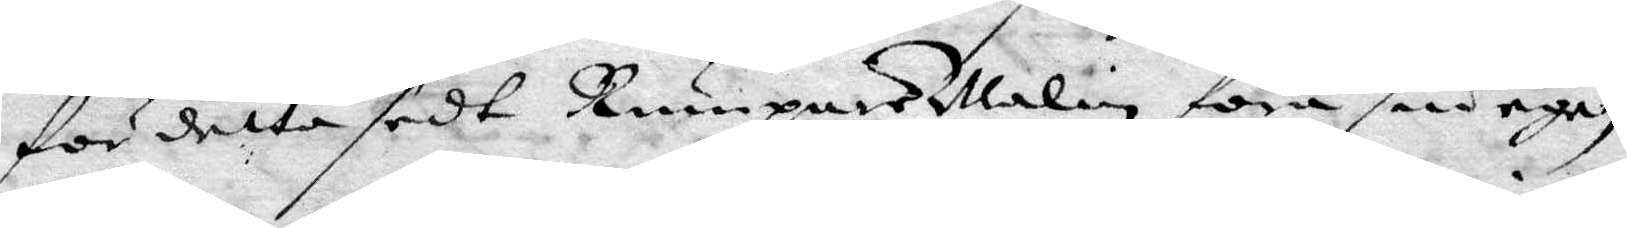fördetta sedt Rumpars Malin föra sin egen
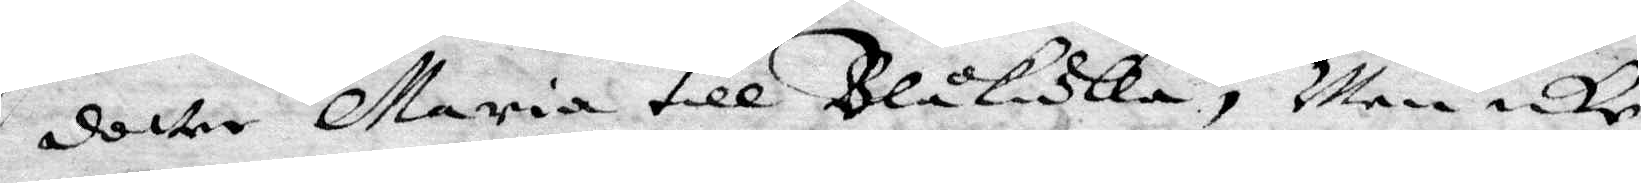dotter Maria till Blåkulla, Men icke
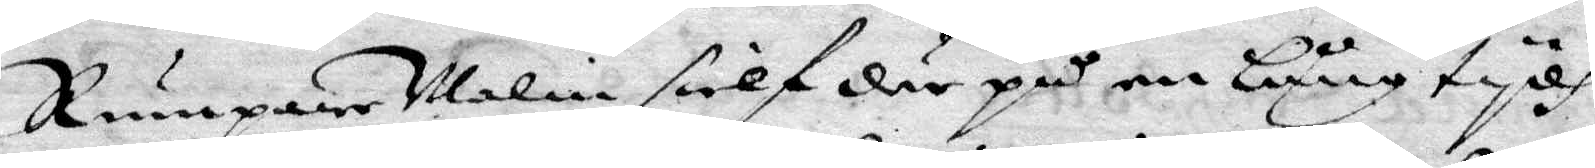Rumpare Malin sielf där på en Lång tydh.
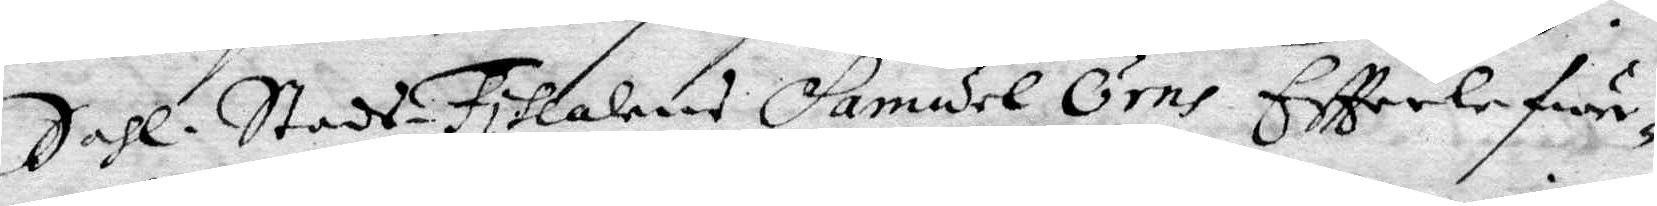Sahl. Stads-Fiscalens Samuel Örns Effterlefwer¬
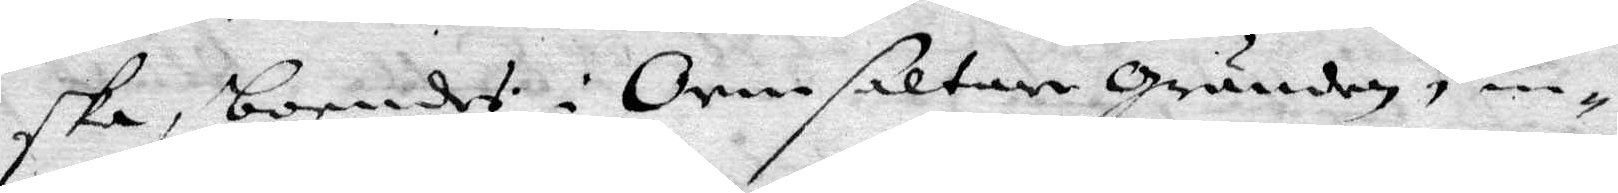ska, boendes i Ormsaltare Grunden, in¬
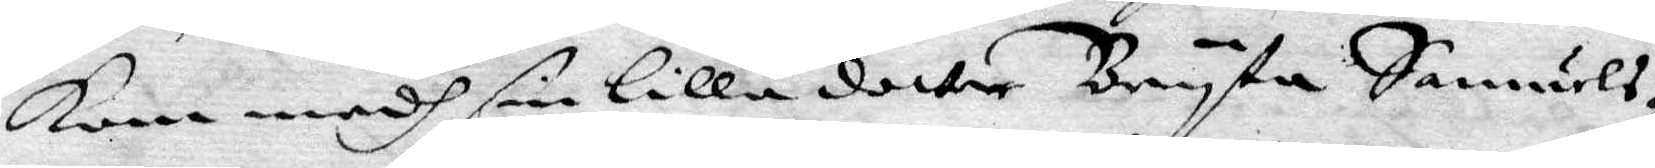kom medh sin Lilla dotter Bryta Samuels¬
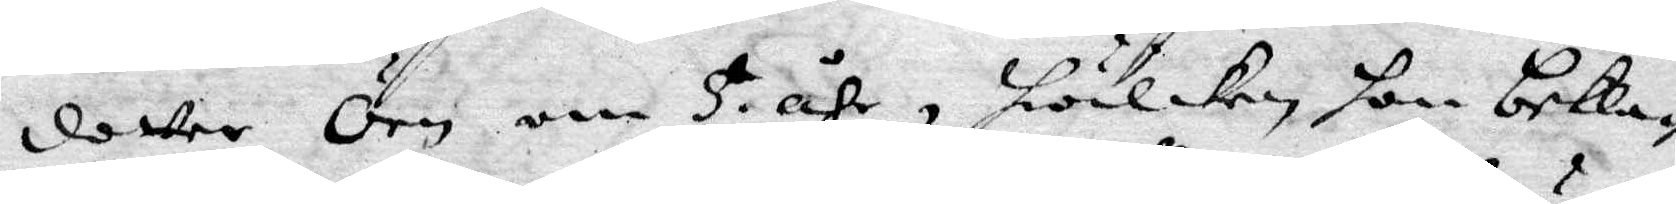dotter Örn om 5 åhr, hwilken hon bekla¬
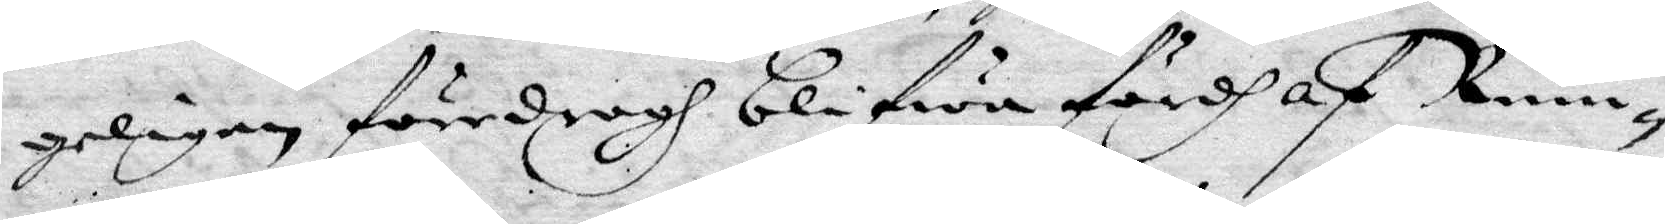geligen föredragh blifwa fördh af Rum¬
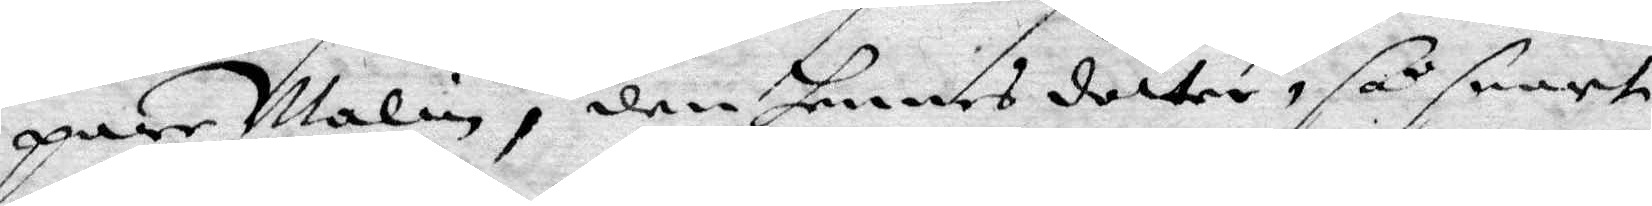pare Malin, den hennes dotter, så snart
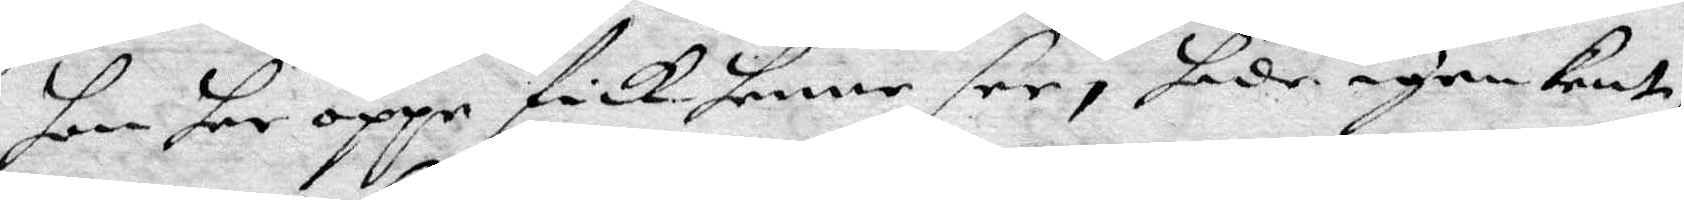hon har oppe fick henne see, hade igen kent,
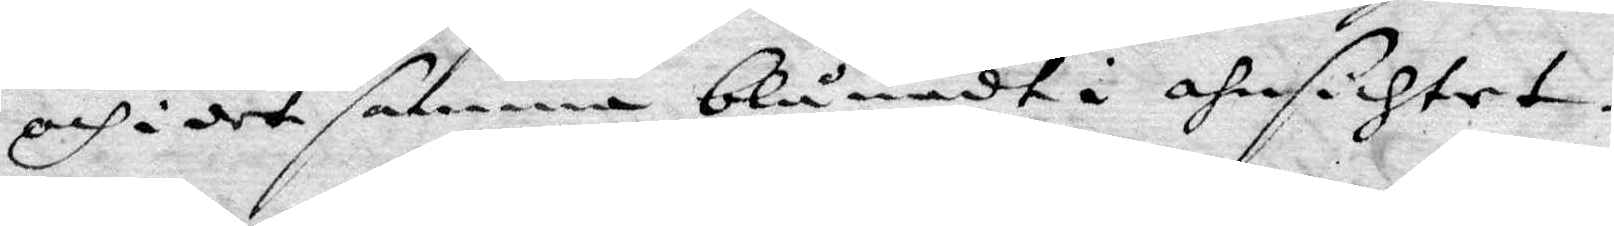och i det samma blånadt i ansichtet.
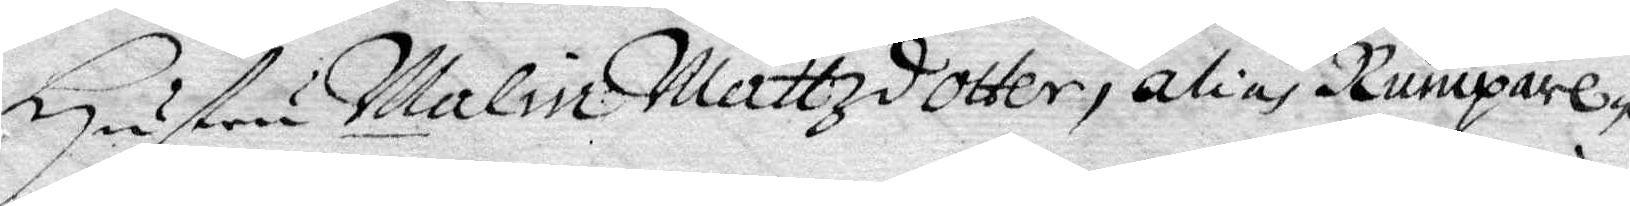Hustru Malin Mattzdotter, allias Rumpare¬
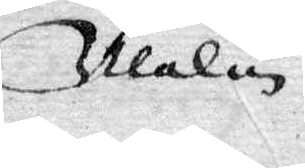Malin
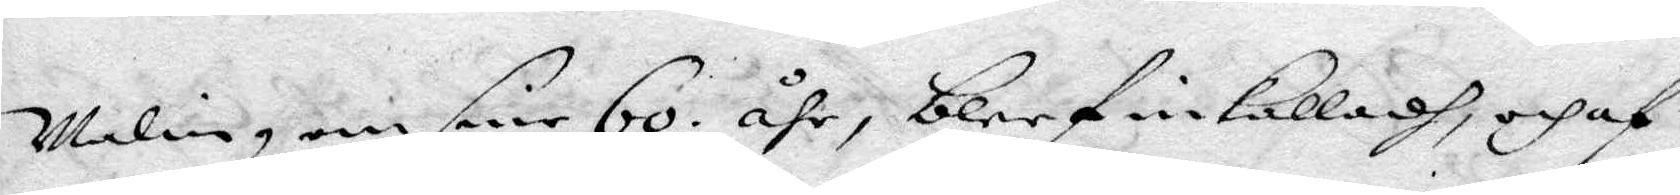Malin om sine 60 åhr, blef inkalladh, och af
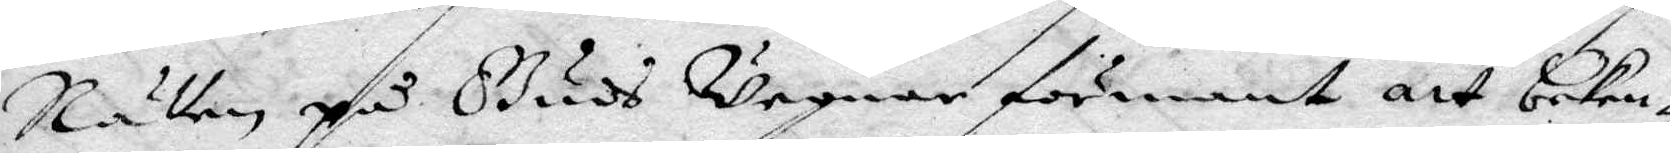Rätten på Guds Wägnar förmant att beken¬
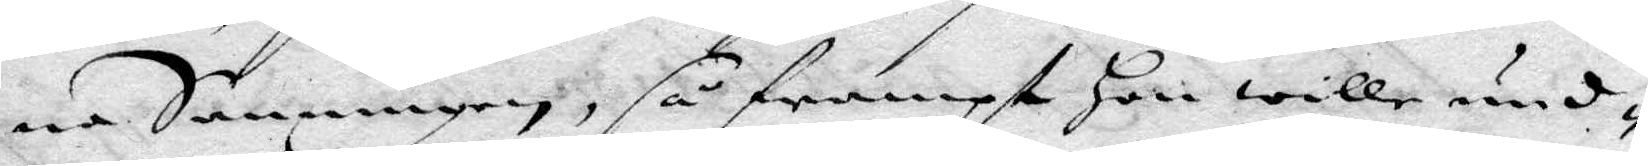na Sanningen, så frampt Hon wille und¬
